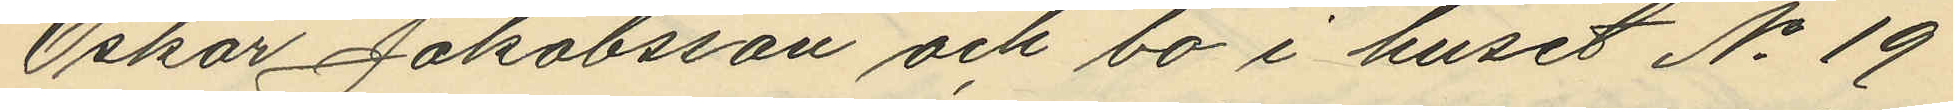Oskar Jakobsson och bo i huset No 19
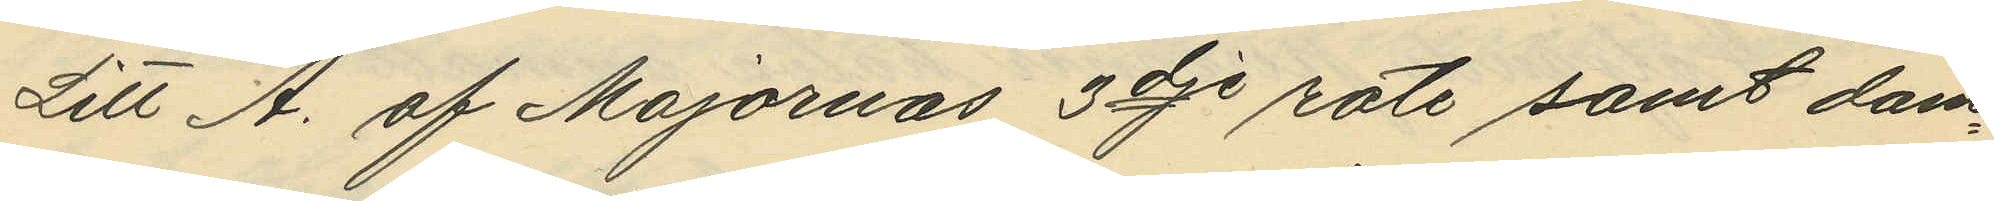Litt A. af Majornas 3dje rote samt dam¬
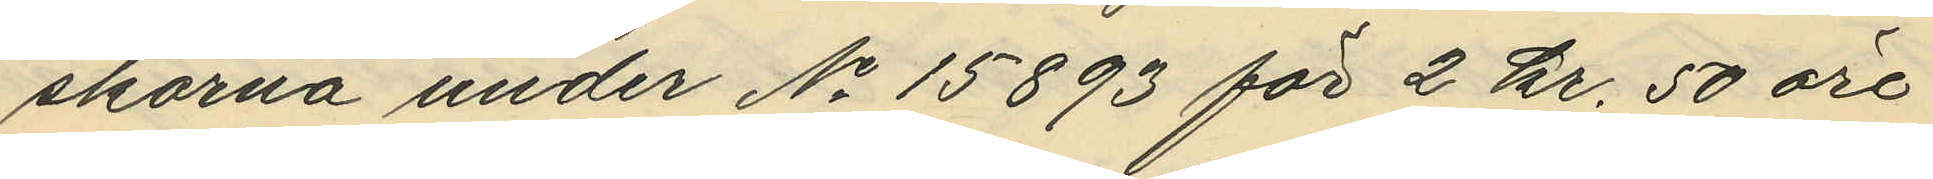skorna under No 15893 för 2 kr. 50 öre
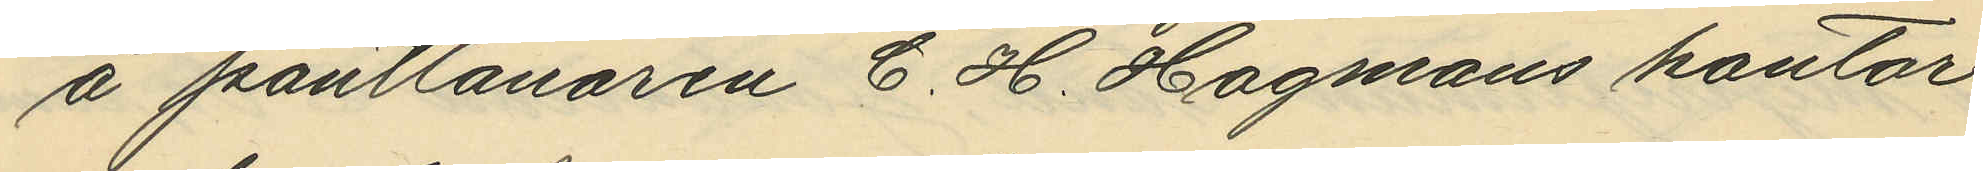å pantlånaren C. H. Hagmans kontor
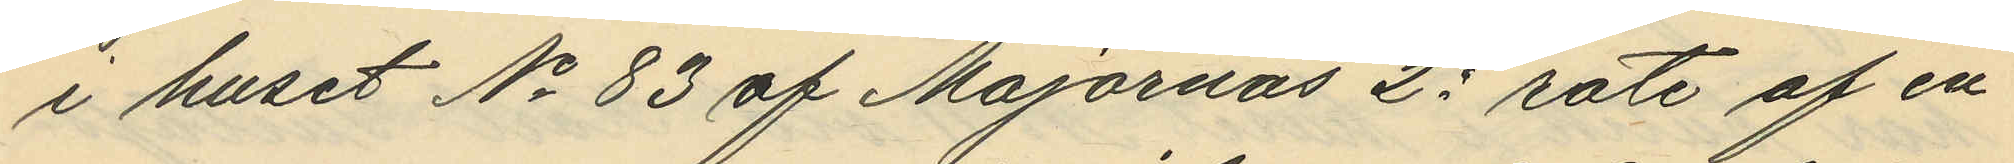i huset No 83 af Majornas 2e rote af en
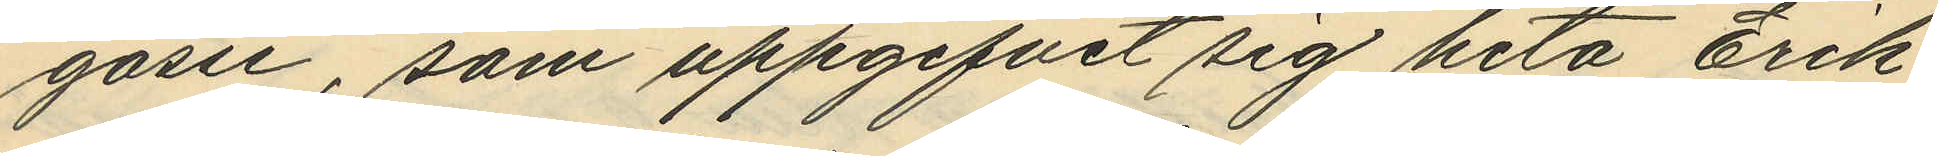gosse, som uppgifvit sig heta Erik
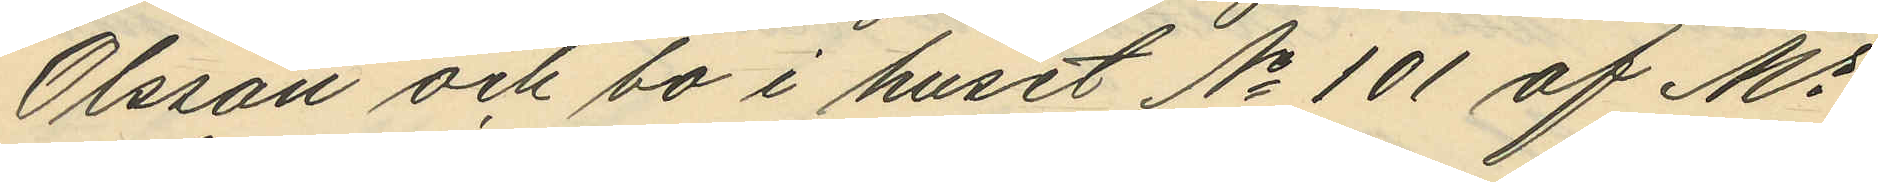Olsson och bo i huset No 101 af Ms
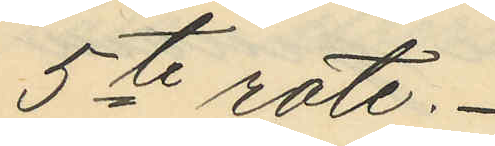5te rote.
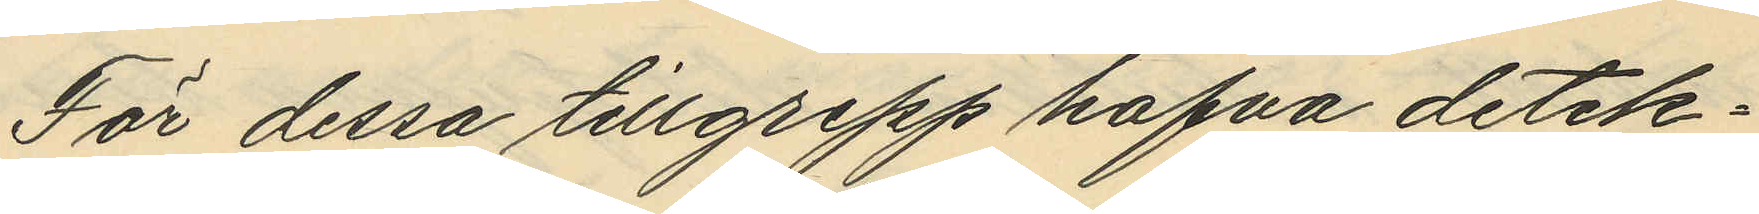För dessa tillgrepp hafva detek¬
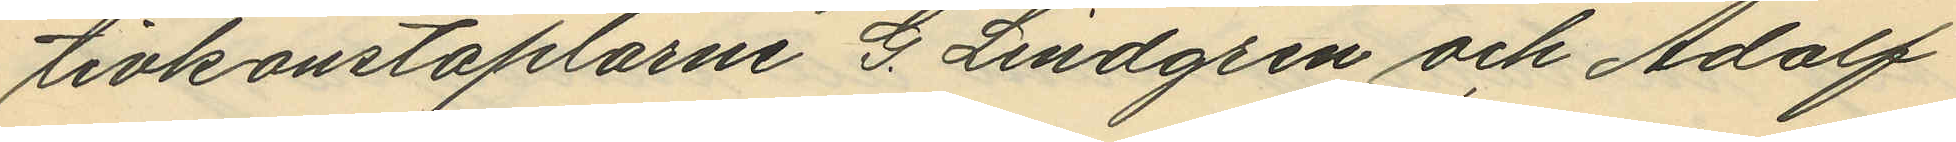tivkonstaplarne G. Lindgren och Adolf
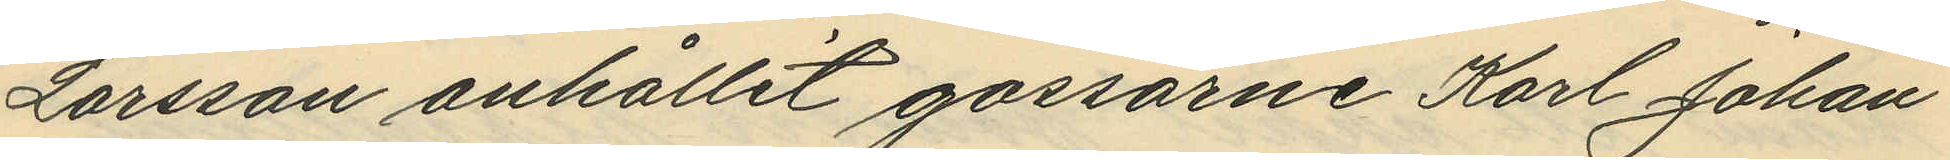Larsson anhållit gossarne Karl Johan
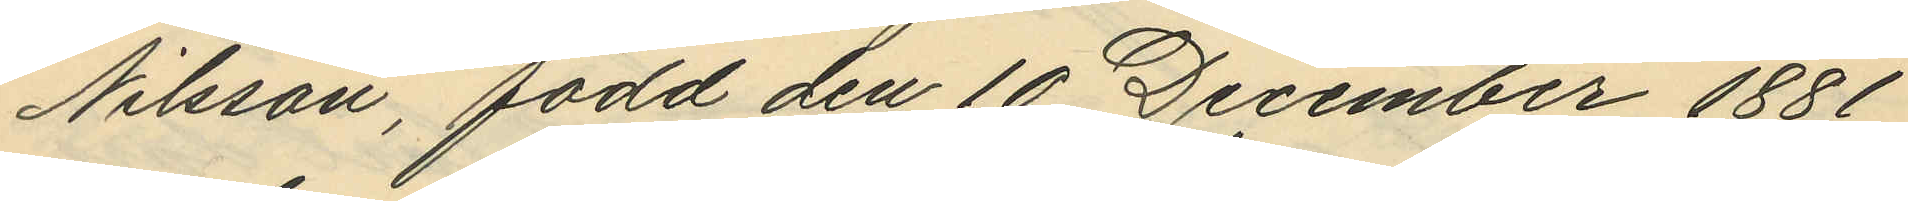Nilsson, född den 10 December 1881
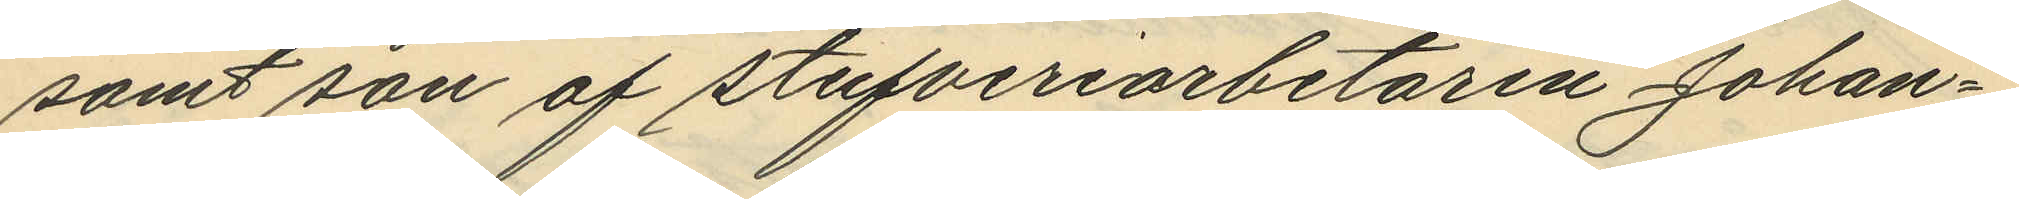samt son af stufveriarbetaren Johan¬
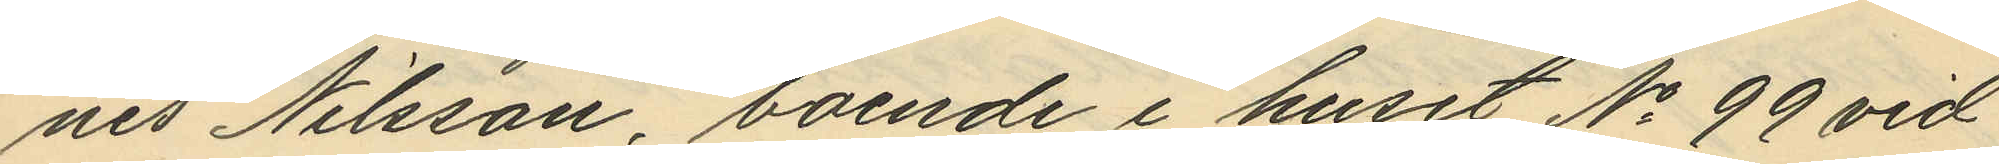nes Nilsson boende i huset No 99 vid
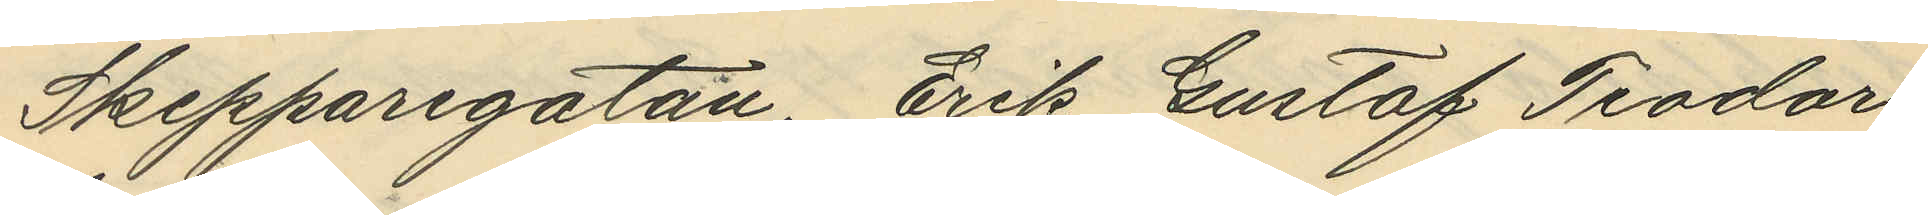Skepparegatan, Erik Gustaf Teodor
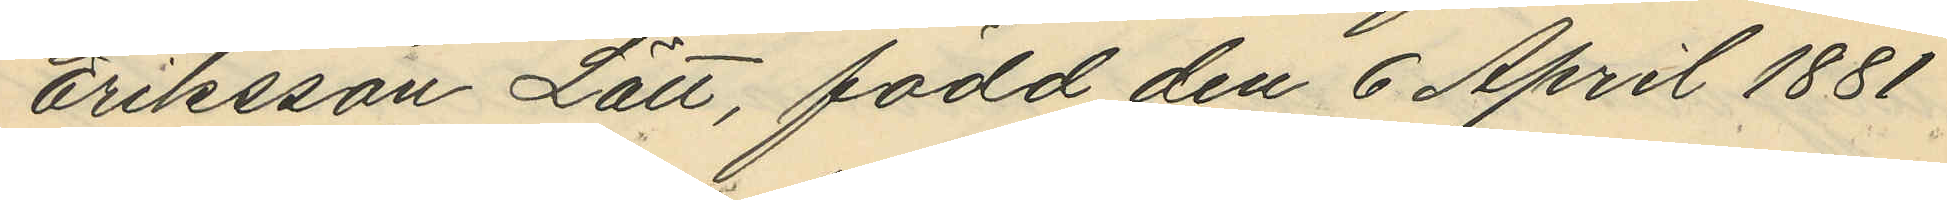Eriksson Lätt, född den 6 April 1881
